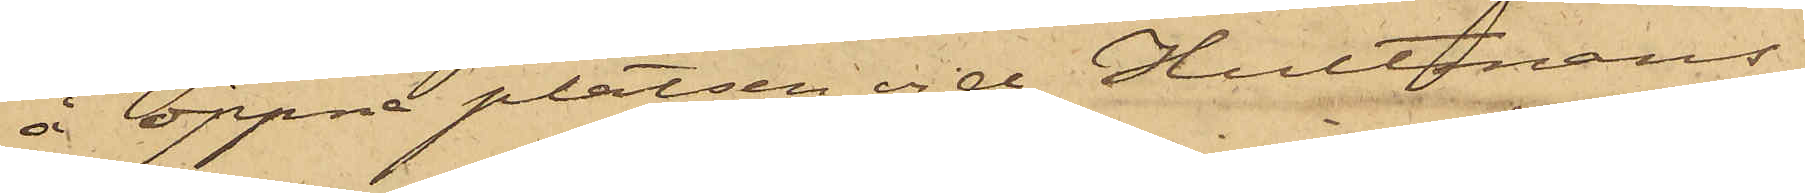å öppna platsen vid Hultmans
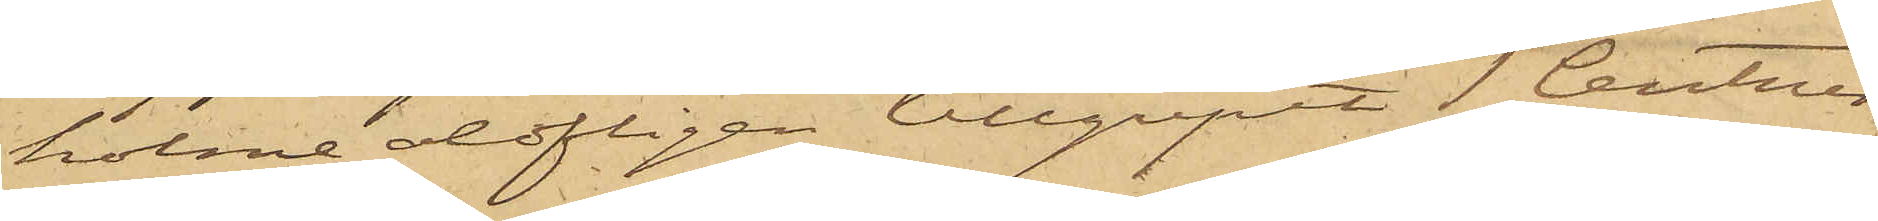holme olofligen tillgripit 1 Centner
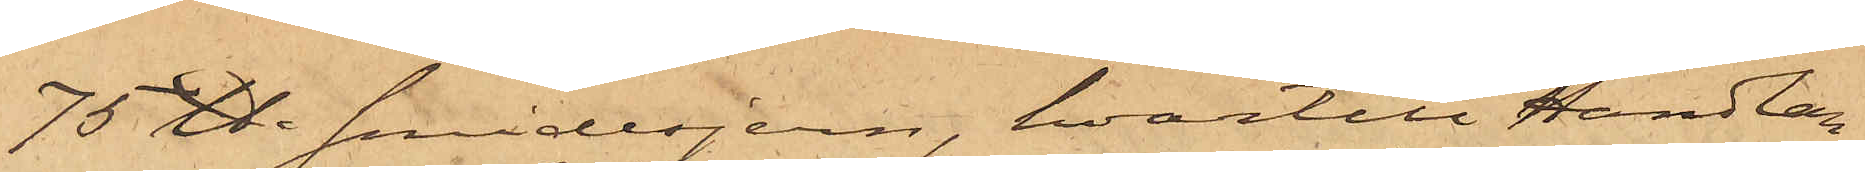75 ℔. smidesjern, hvartill Handlan¬
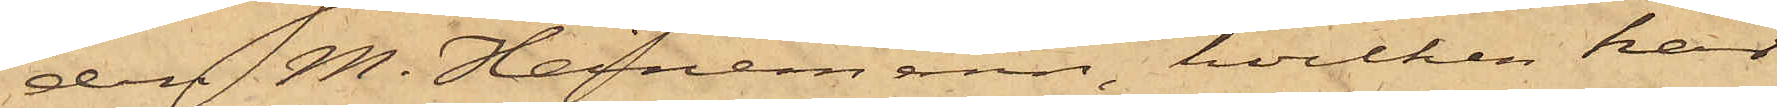den M. Heinemann, hvilken har
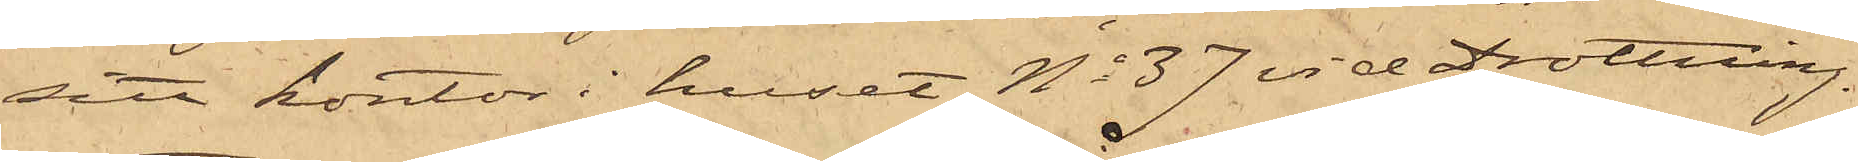sitt kontor i huset No 37 vid Drottning¬
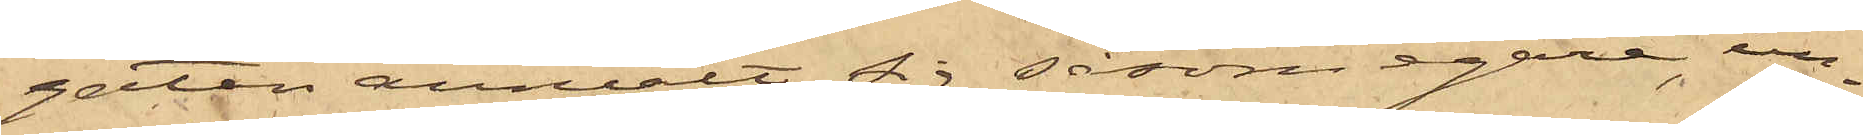gatan anmält sig såsom egare, un¬
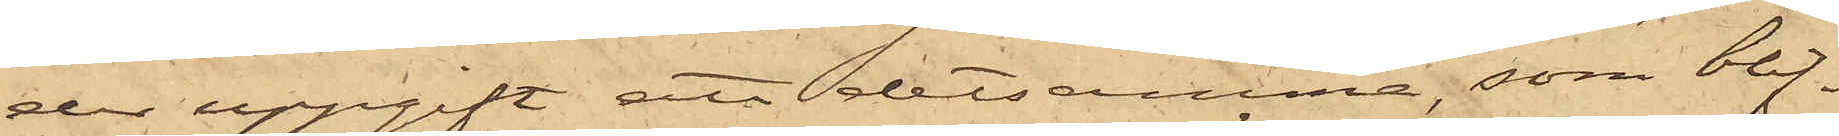der uppgift att detsamma, som blif¬
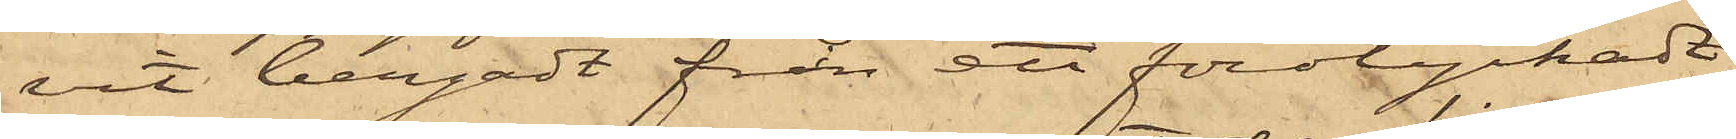vit bergadt från ett förolyckadt
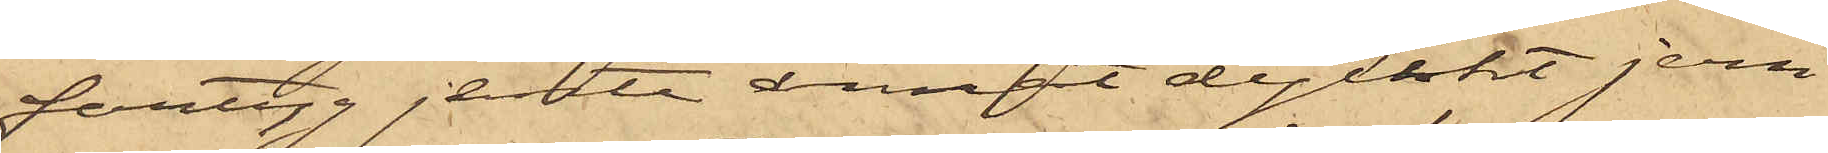fartyg jemte annat dylikt jern
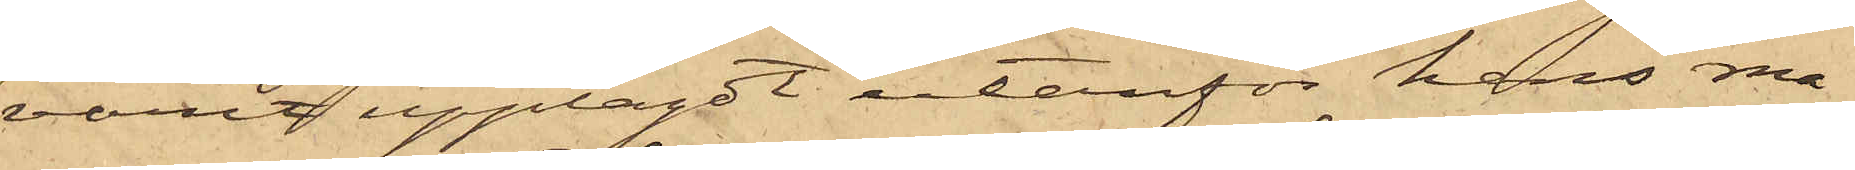varit upplagdt utanför hans ma¬
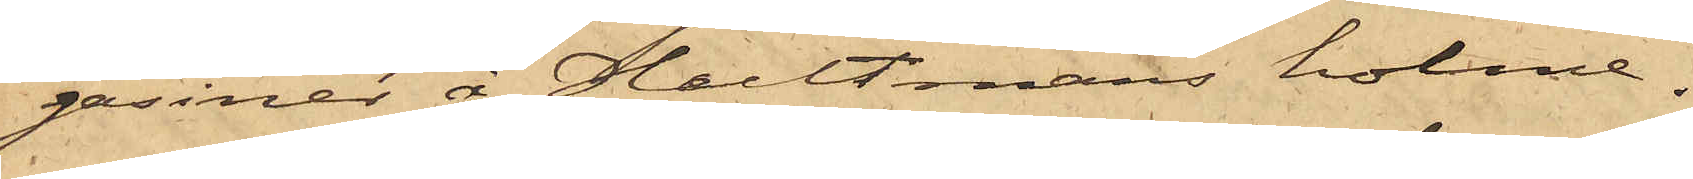gasiner å Hultmans holme.
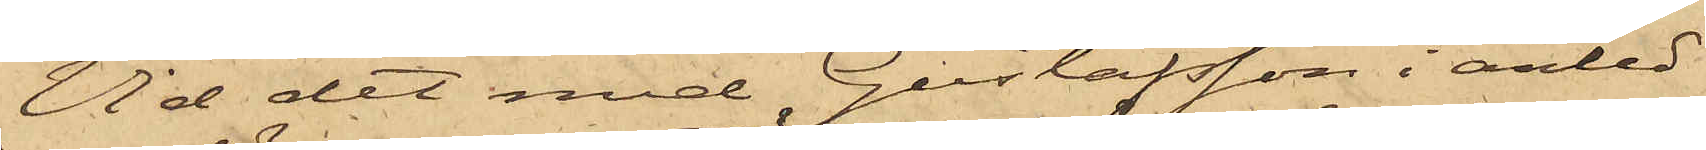Vid det med Gustafsson i anled¬
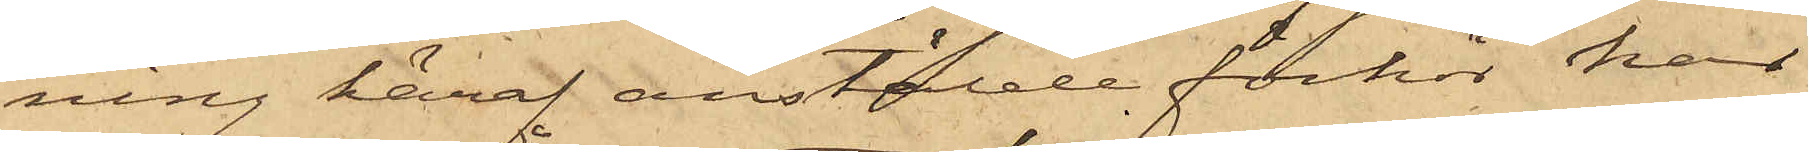ning häraf anstälde förhör har
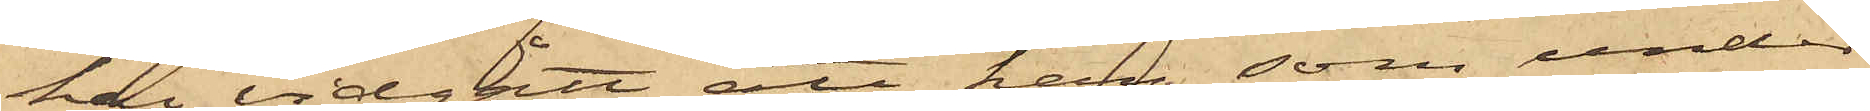han vidgått att han, som under
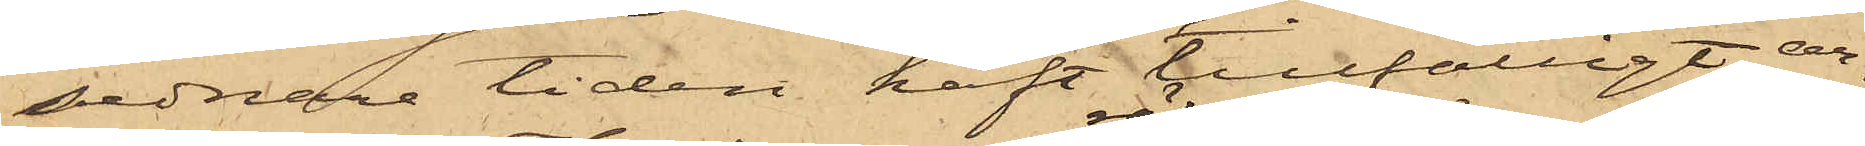sednare tiden haft tillfälligt ar¬
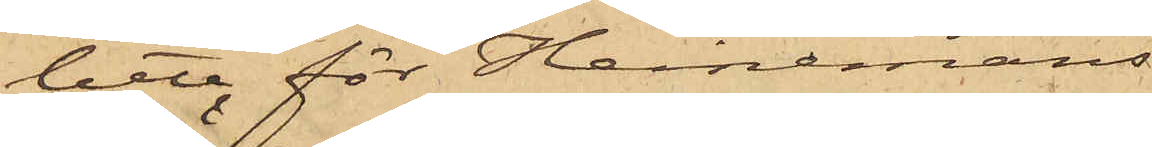bete för Heinemans
